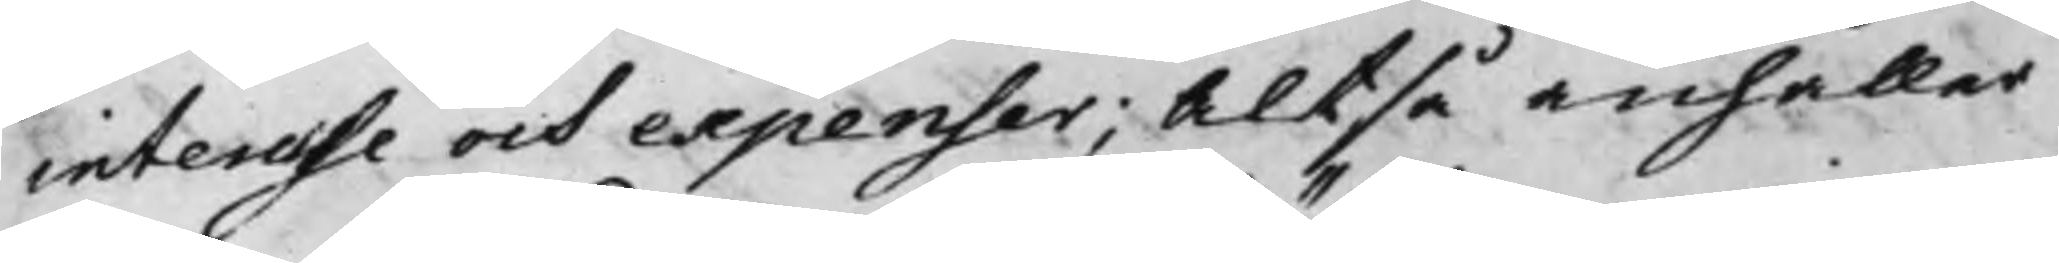interesse och expenser; Altså anhåller
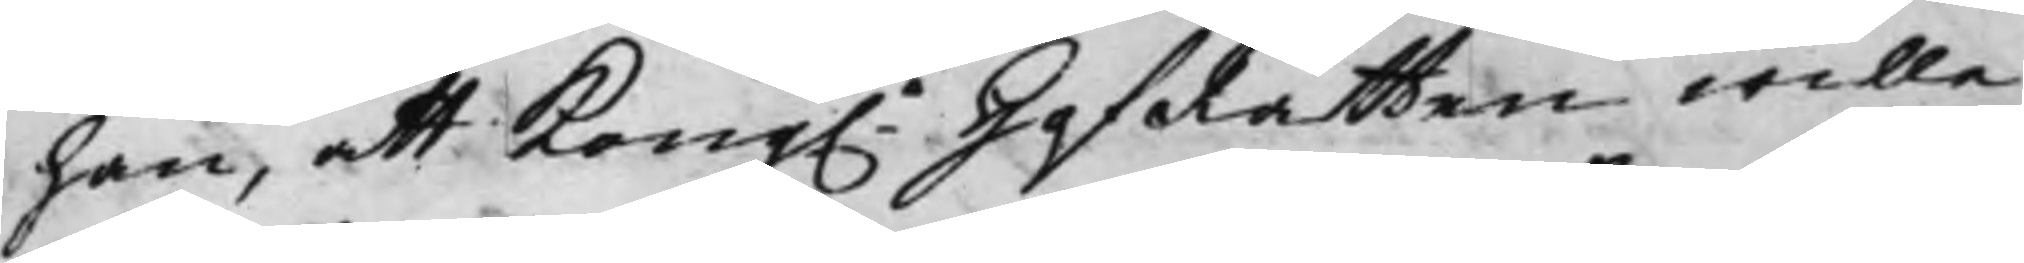han, att Kong.e HofRätten wille
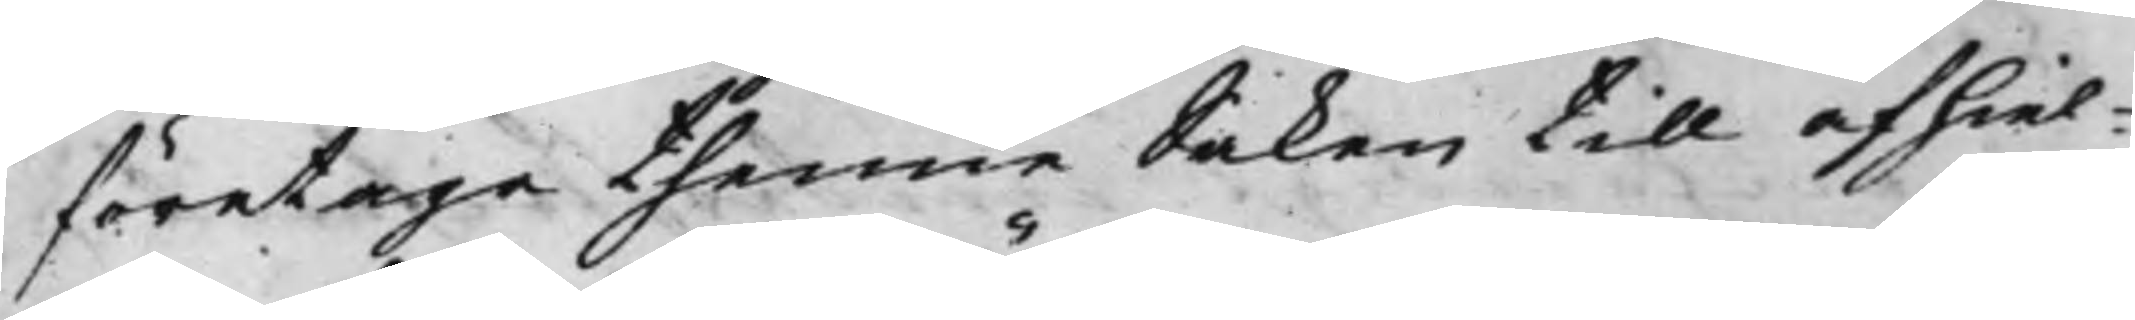företaga thenne Saken till afhiel¬
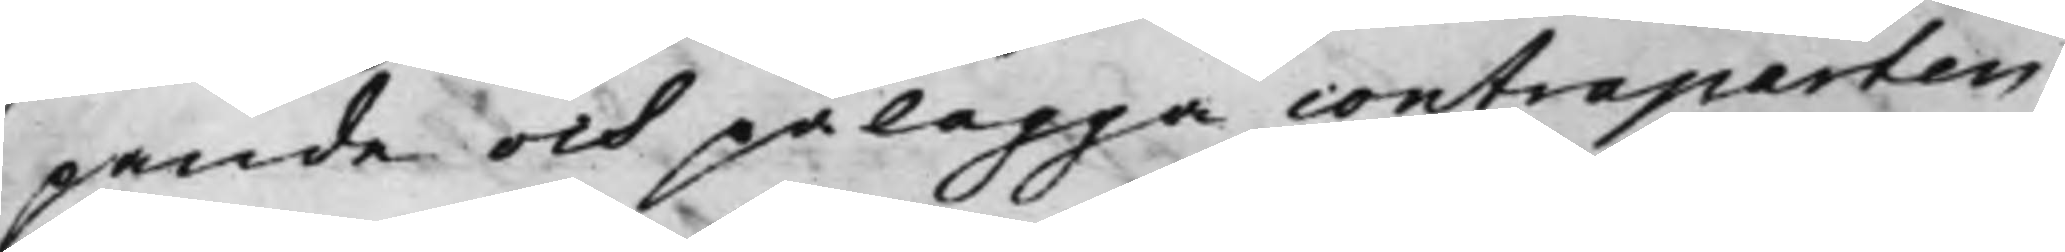pande och pålägga contraparten
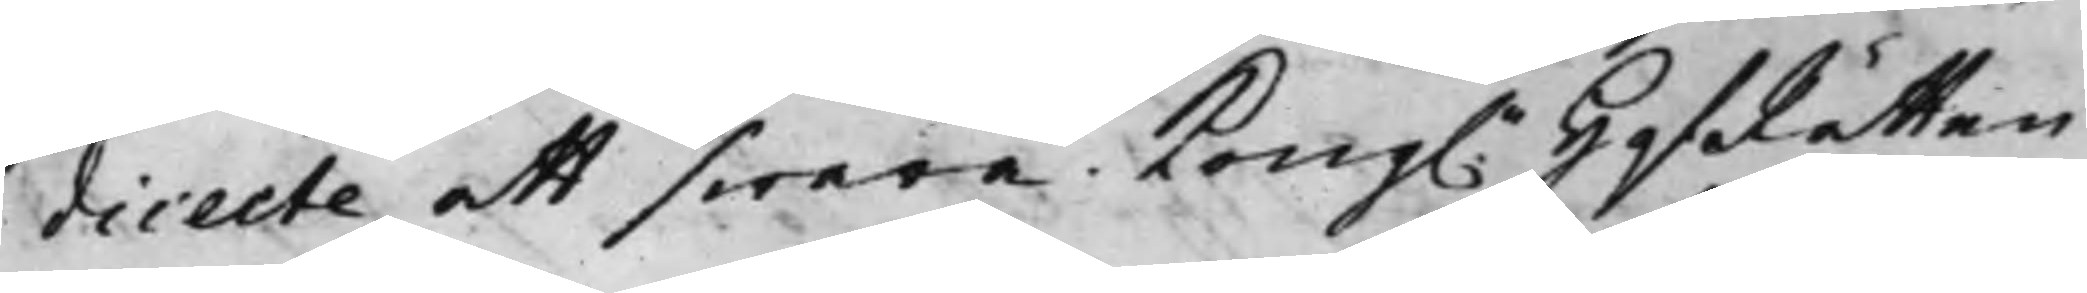dicecte att swara Kong. HofRätten
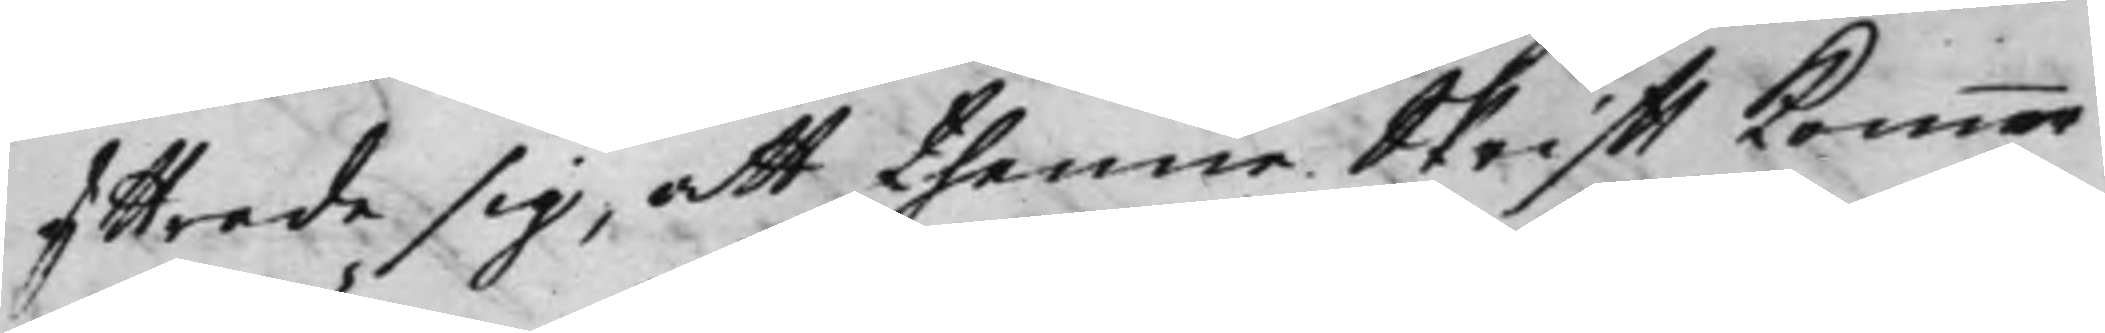yttrade sig, att thenne Skrifft kommer
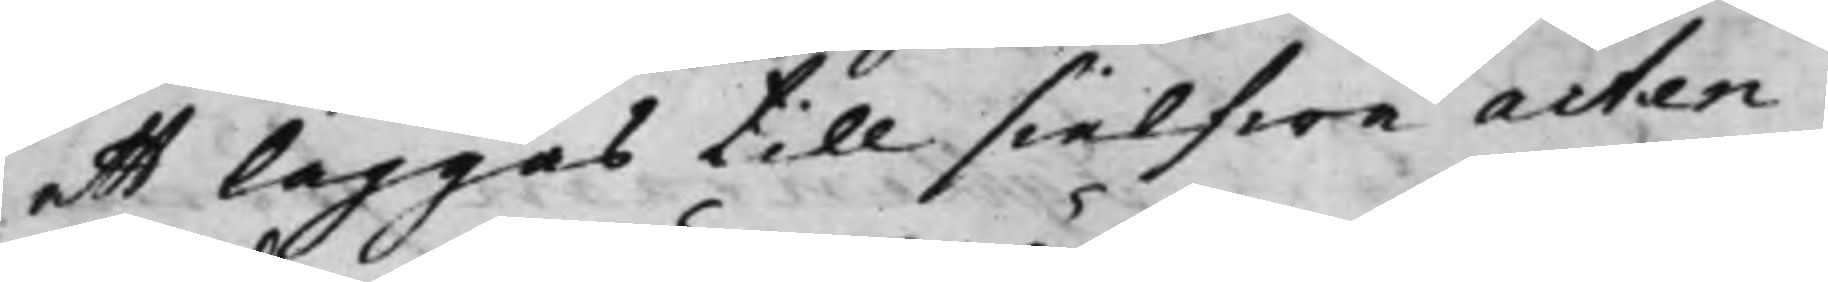att läggas till sielfwa acten.
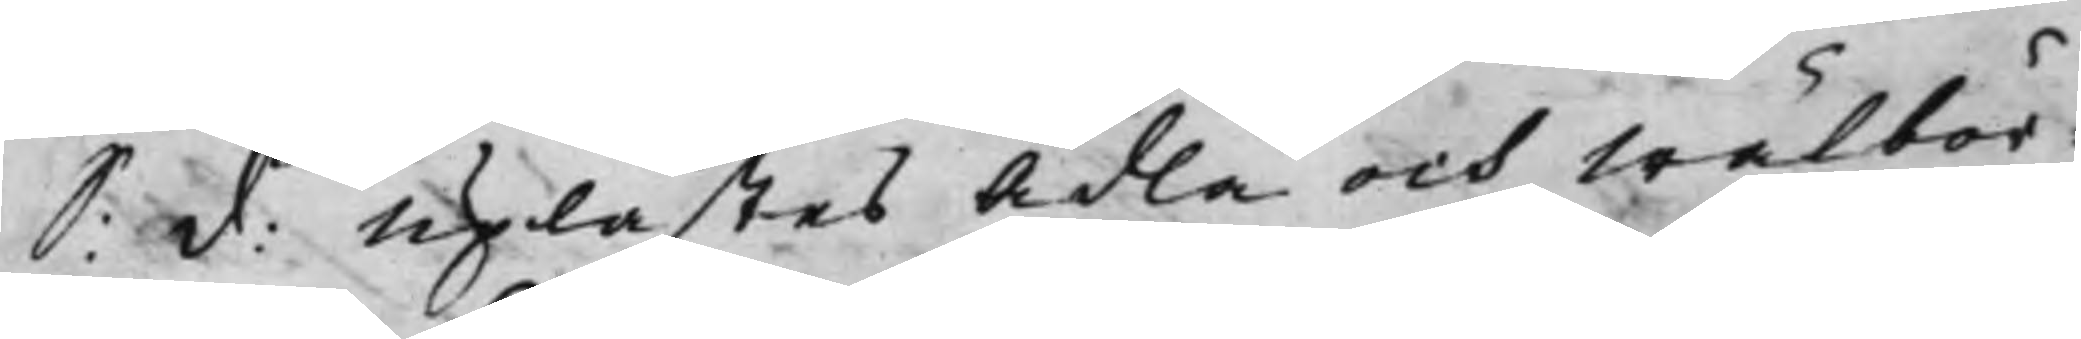S: d: Uplästes Ädla och Wälbör¬
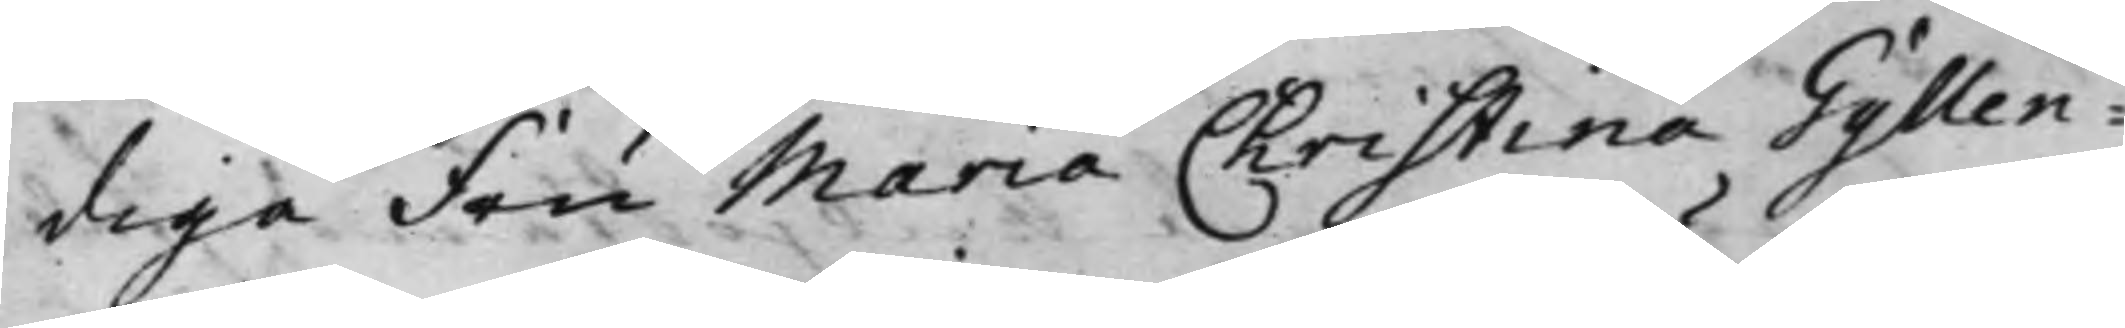diga Fru Maria Christina Gyllen¬
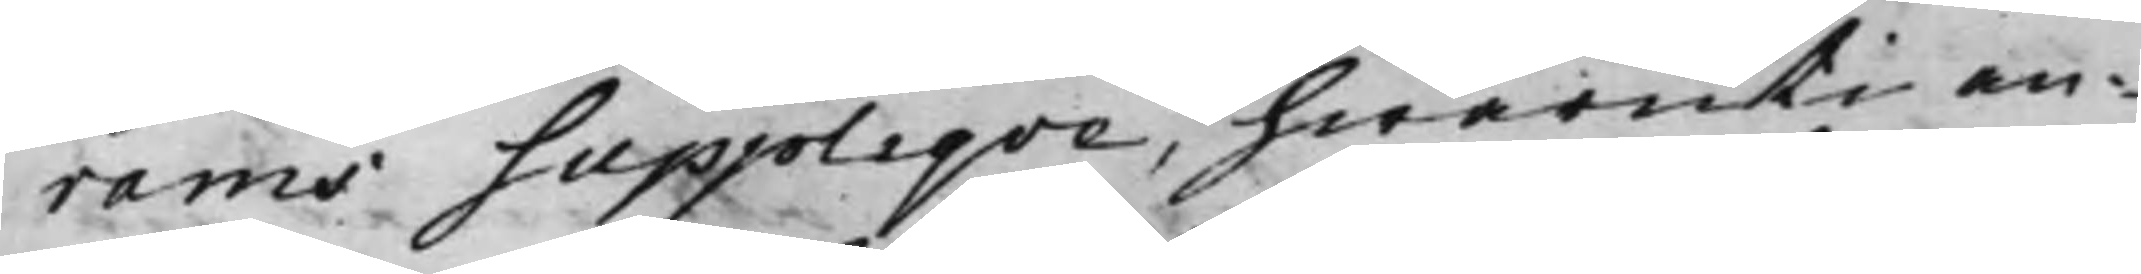rams Suppliqve, hwaruti an¬
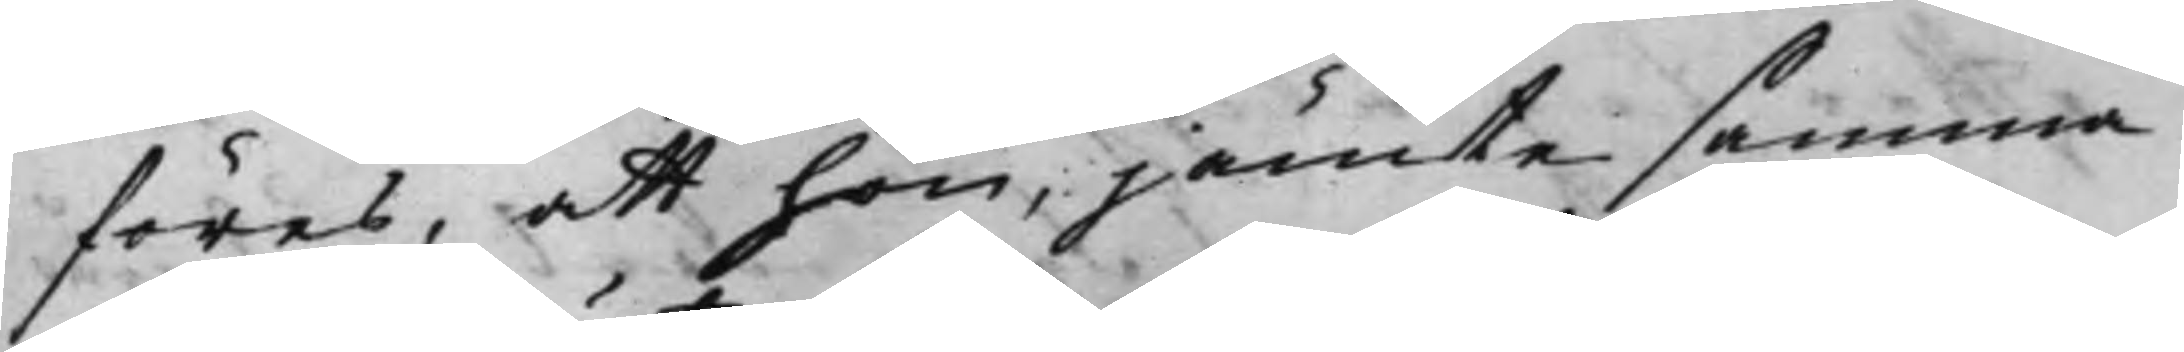föres, att hon, jämte samma
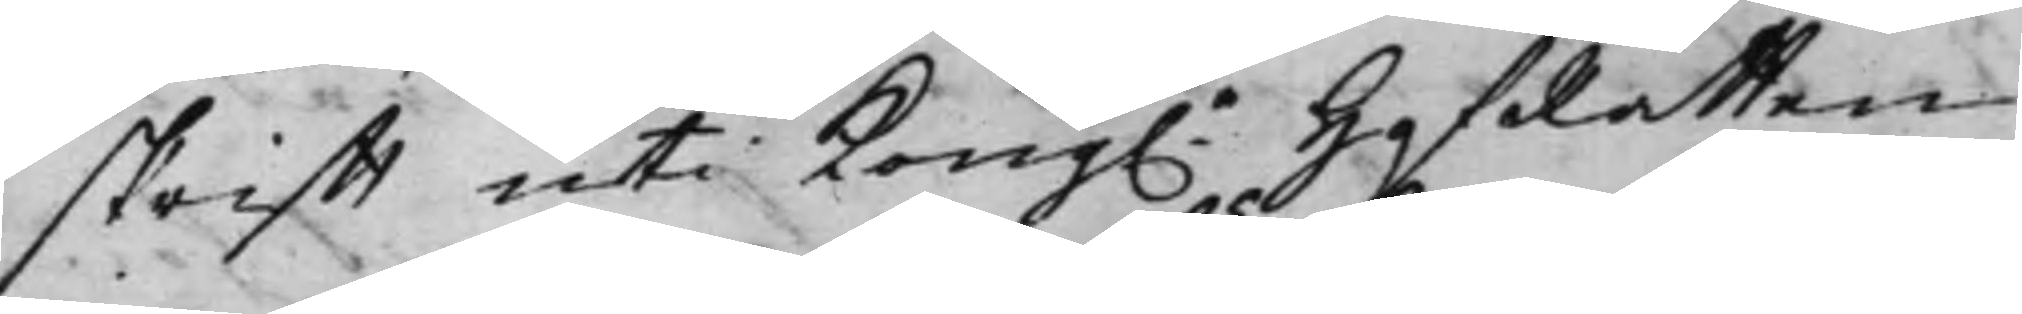skrifft uti Kong.e HofRätten
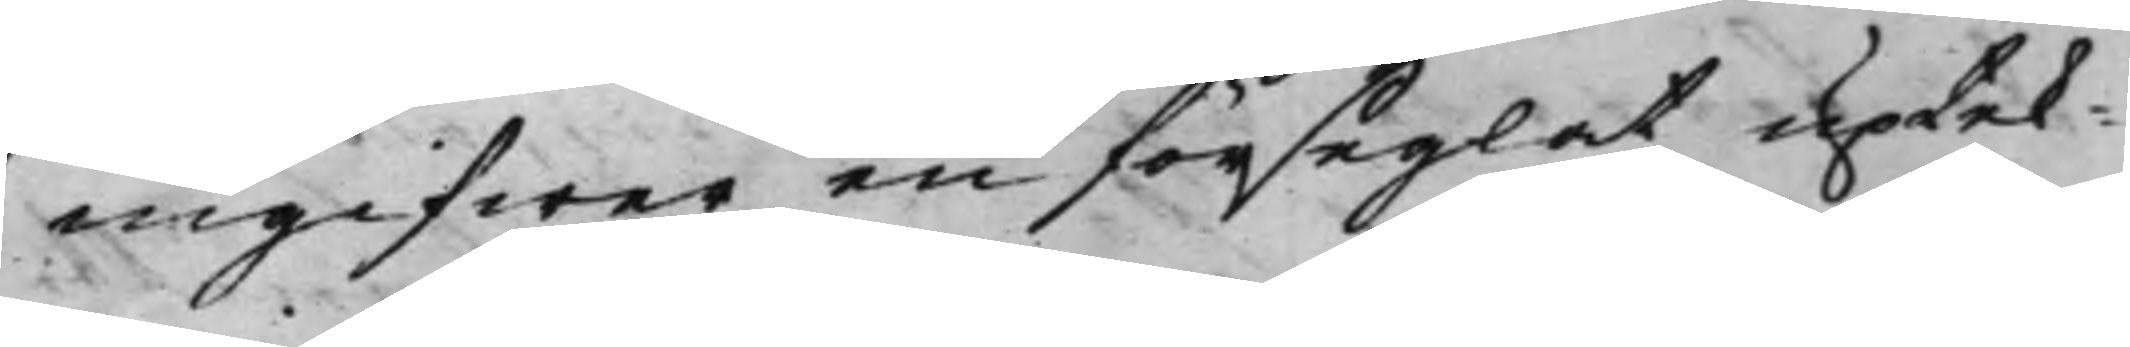ingifwer en förseglat uptek¬
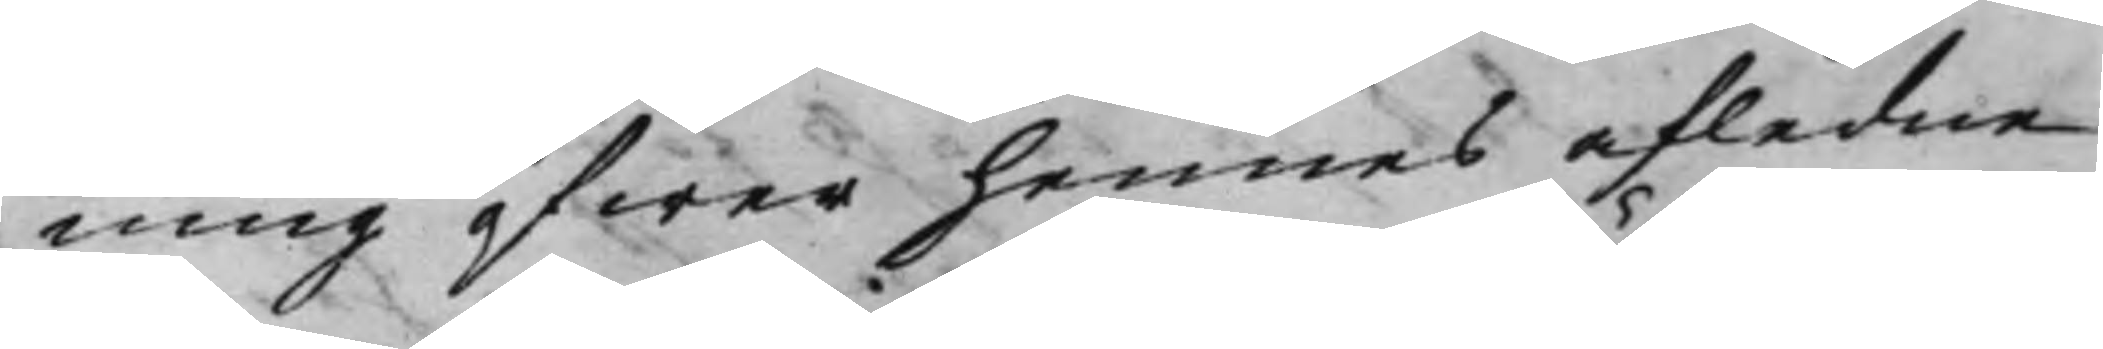ning öfwer hennes afledne
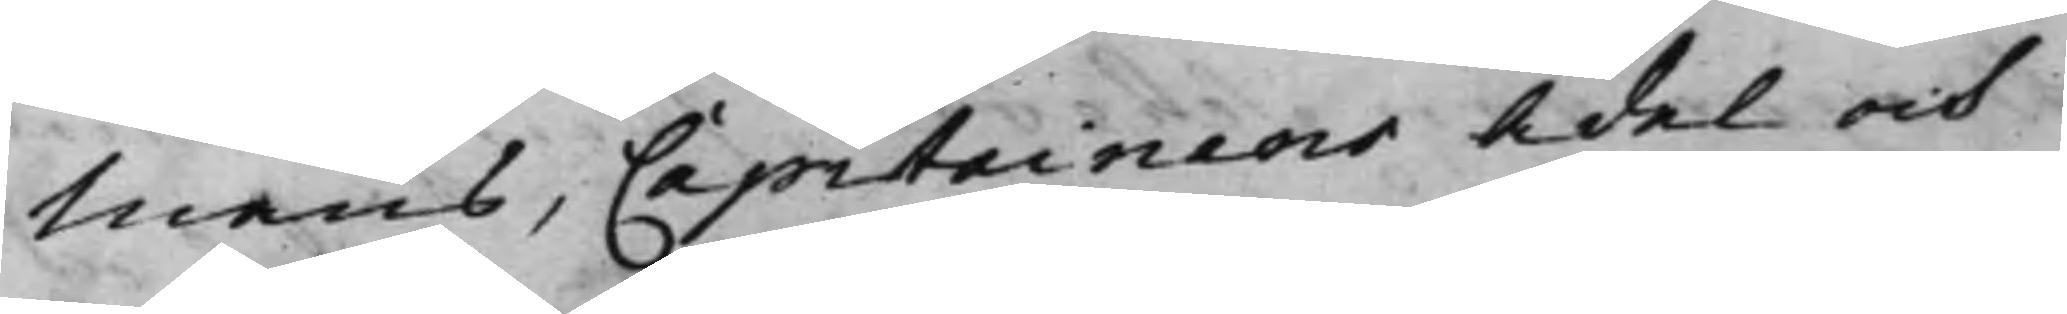Mans, Capitainens Ädel och
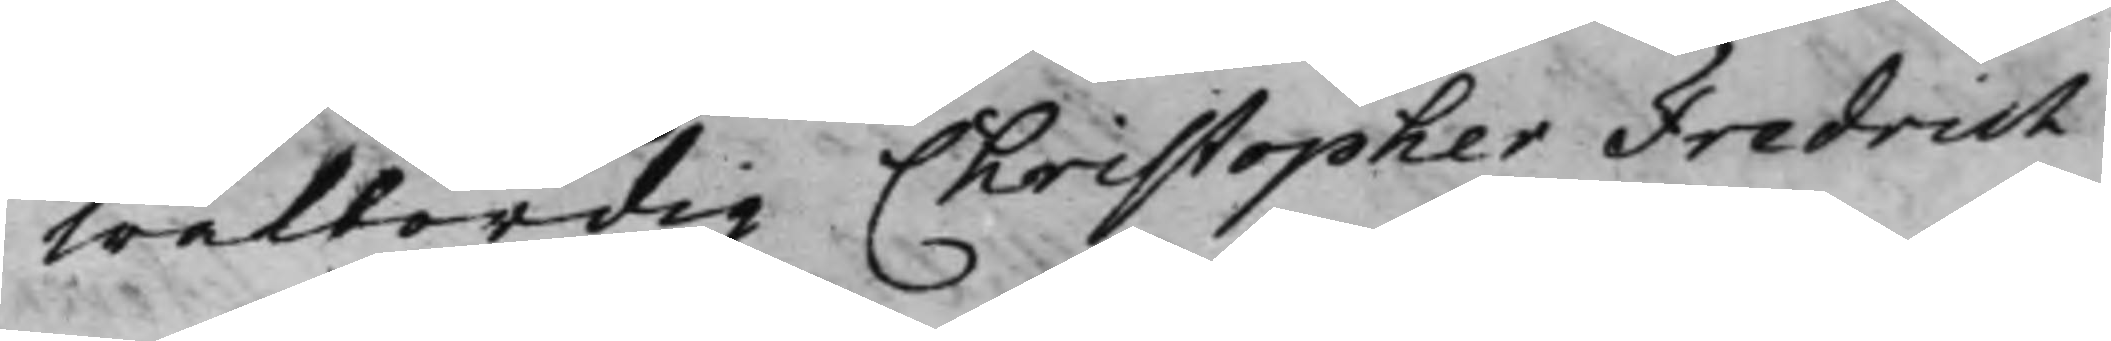Wälbördig Christopher Fredrich
